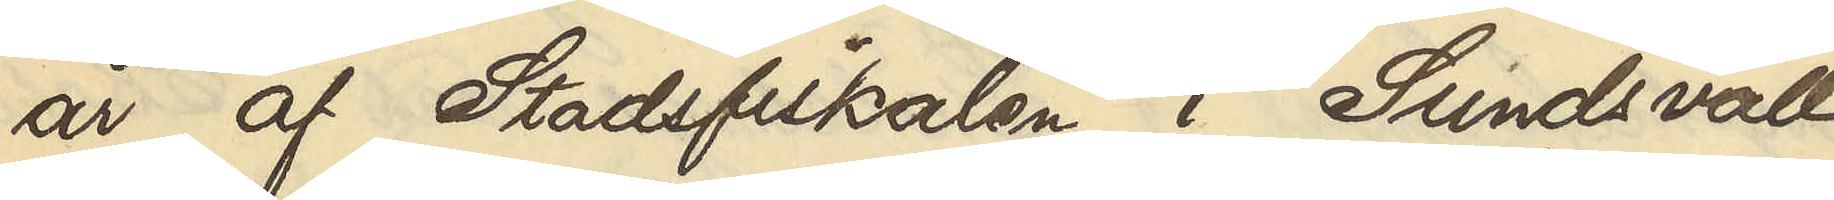år af Stadsfiskalen i Sundsvall
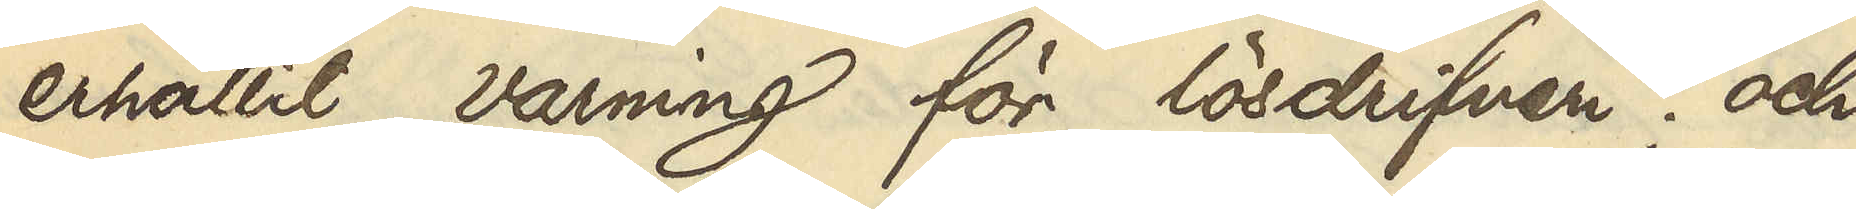erhållit varning för lösdrifveri; och
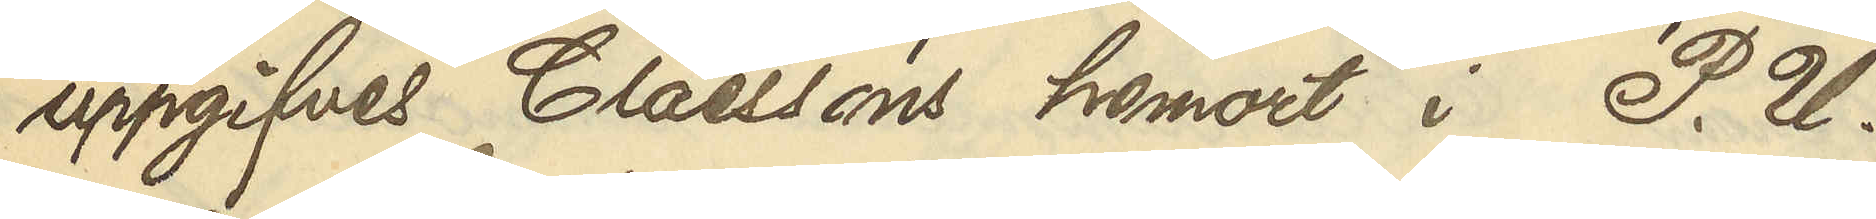uppgifves Claessons hemort i P. U.
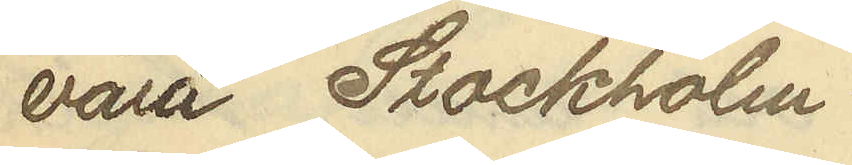vara Stockholm.
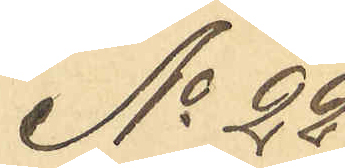No 22
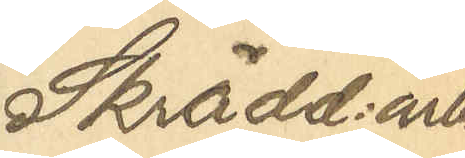Skrädd:arb.
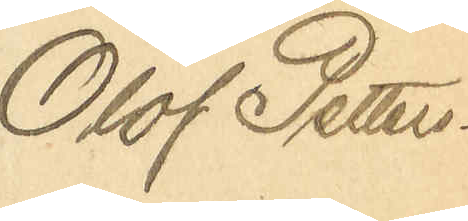Olof Petters¬
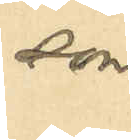son
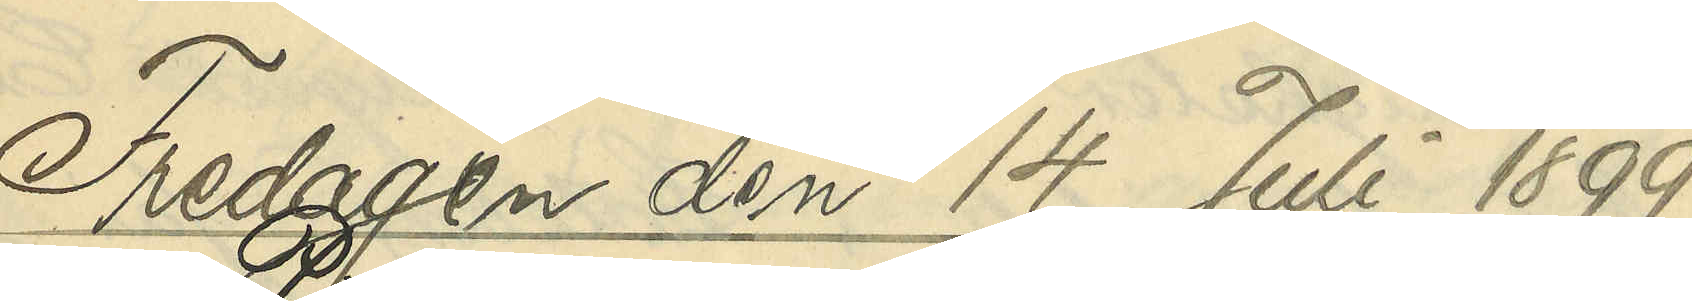Fredagen den 14 Juli 1899
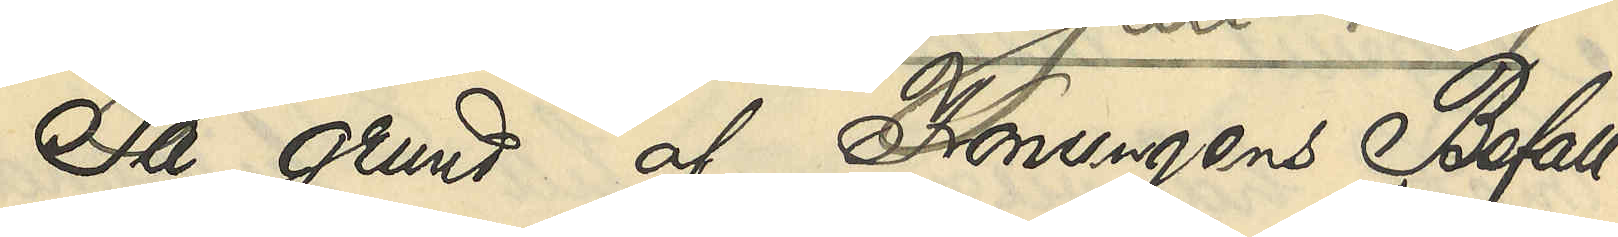På grund af Konungens Befall¬
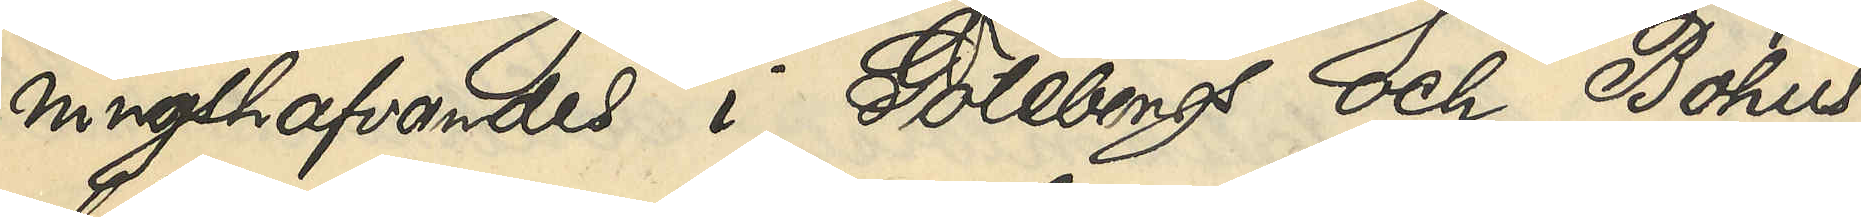ningshafvandes i Göteborgs och Bohus
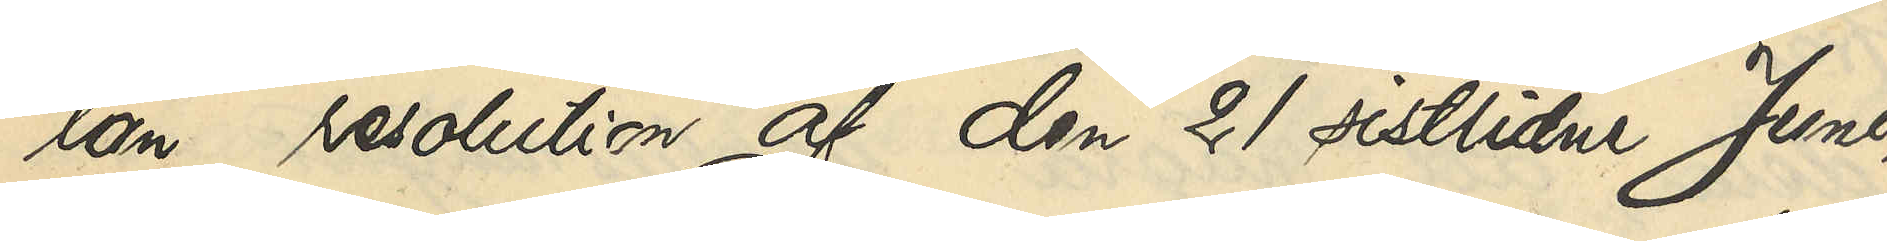län resolution af den 21 sistlidne Juni,
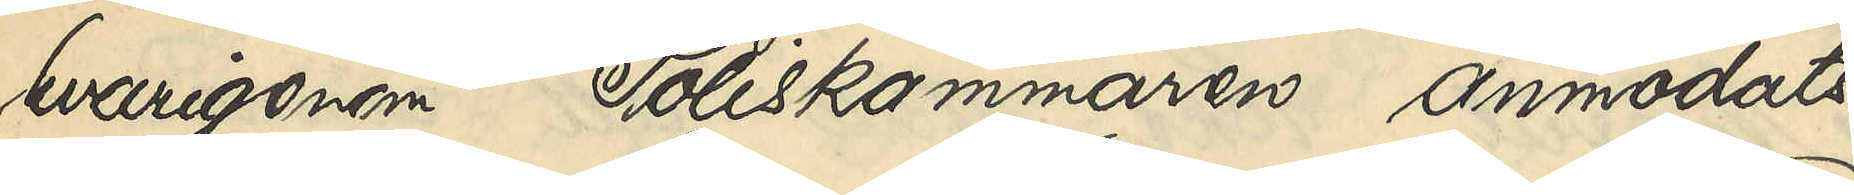hvarigenom Poliskammaren anmodats
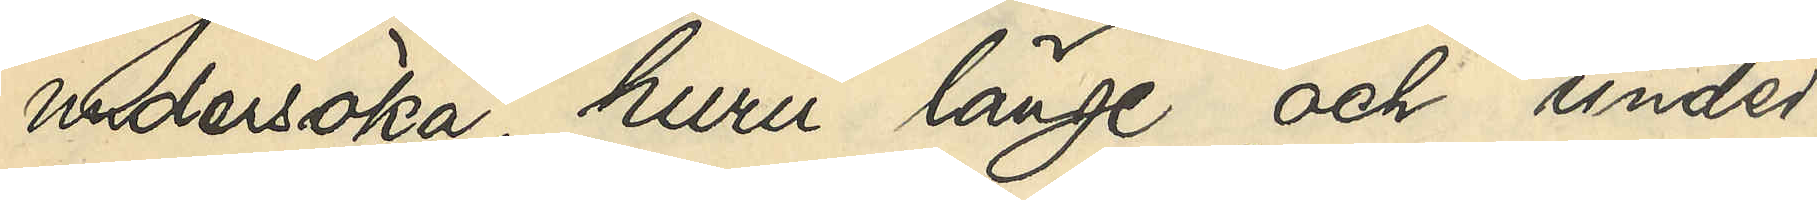undersöka, huru länge och under
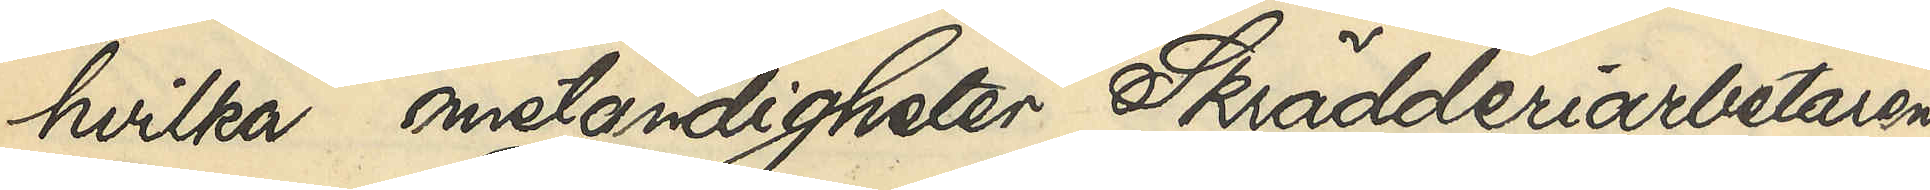hvilka omständigheter Skrädderiarbetaren
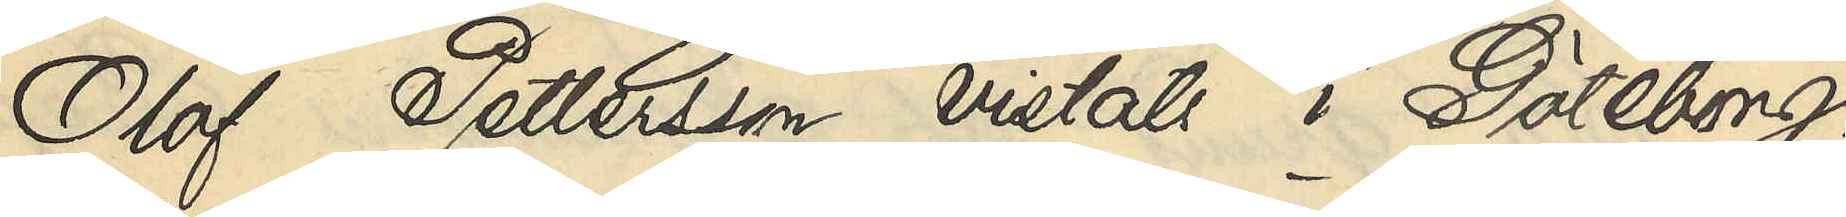Olof Pettersson vistats i Göteborg,
